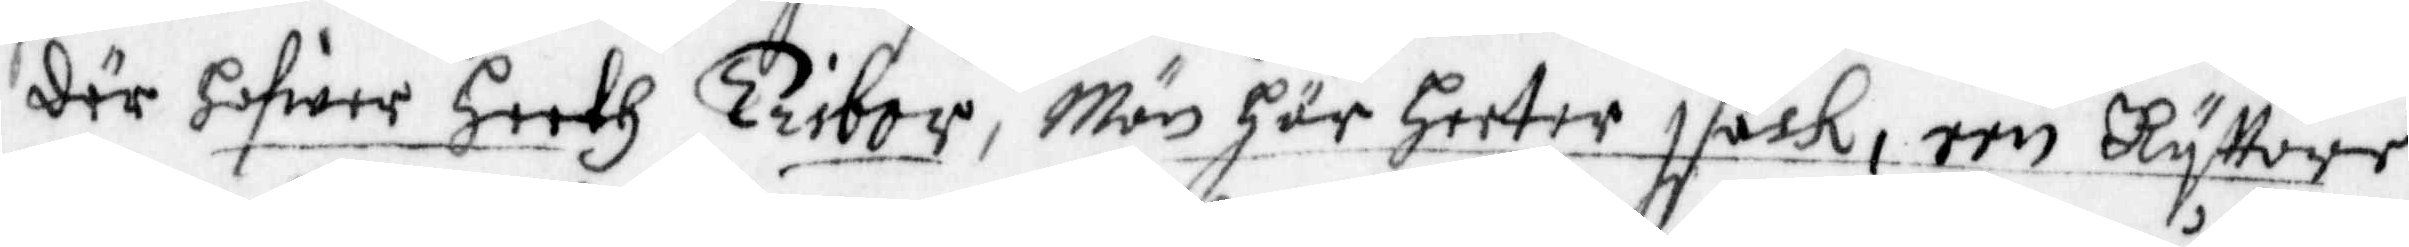där hafwer heeth Tribor, Män här heeter Isack, een Ryttare
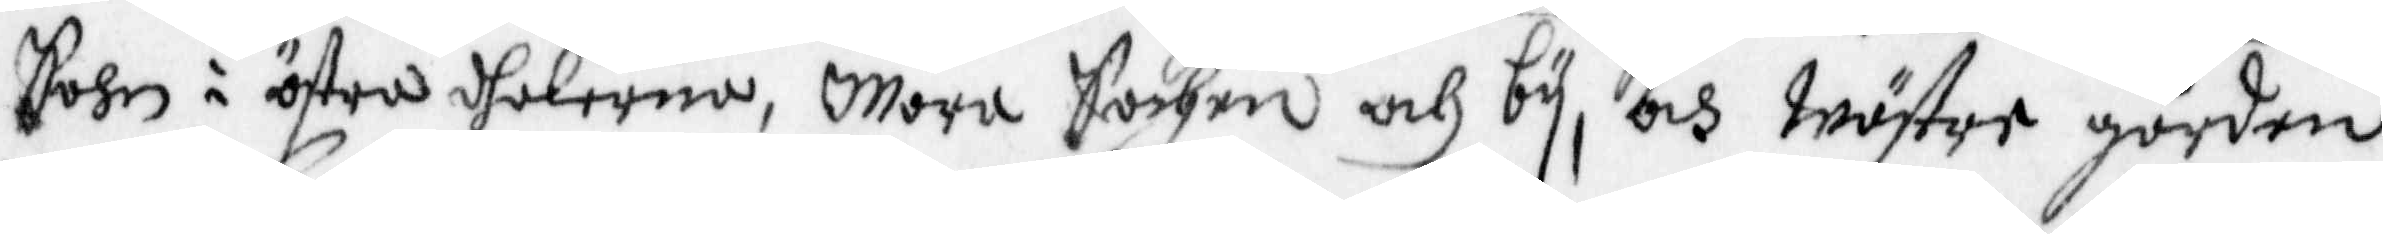sohn i östra dhalerna, Mora Sochen och by, och wäster gården
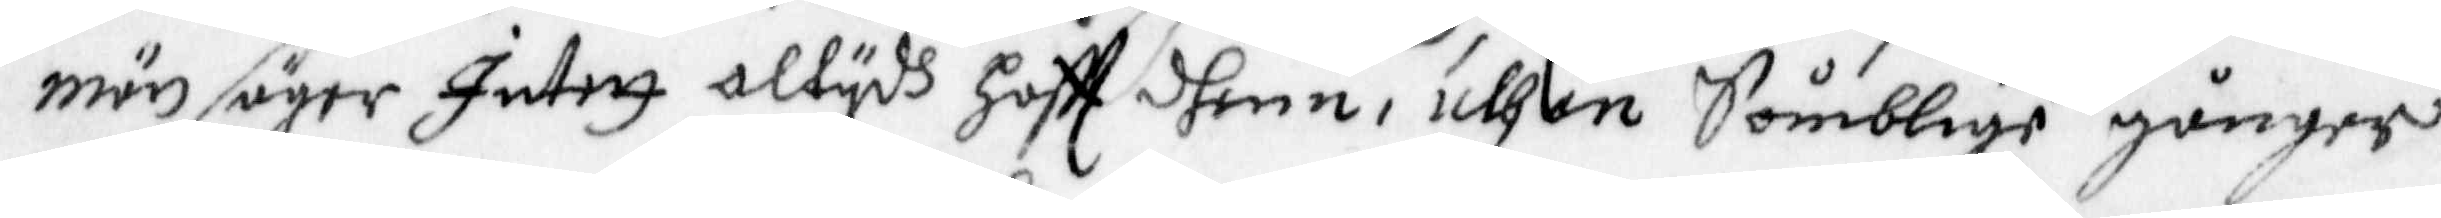män säger Intet altydh hafft dhenn, uthan Somblige gånger
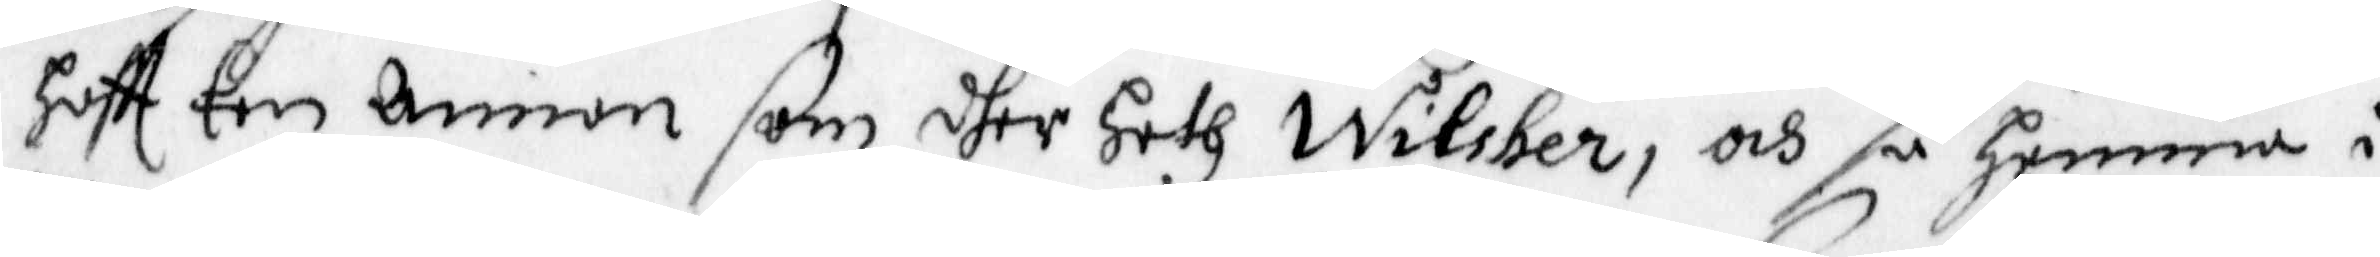haftt een Annan som dher heth Wilsher, och så Hemma i
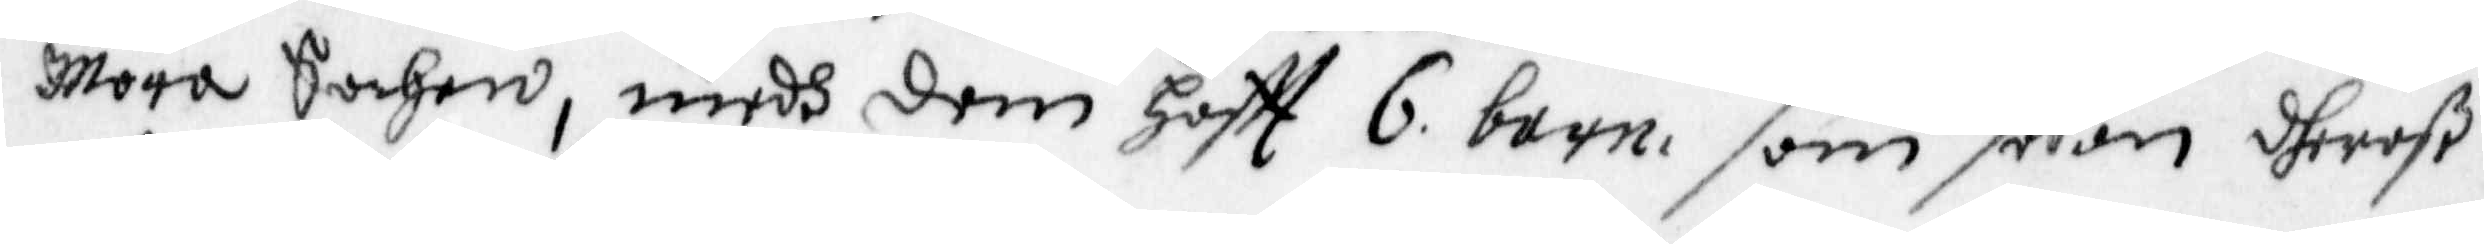Mora Sochen, medh dem Haftt 6 barn, som sådan dheraß
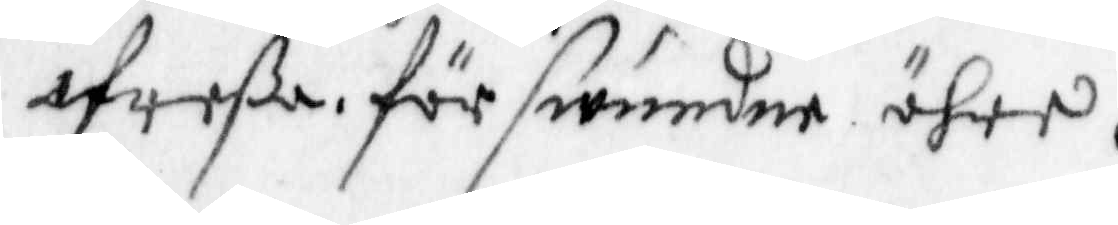afreßa, förswunde ähre,
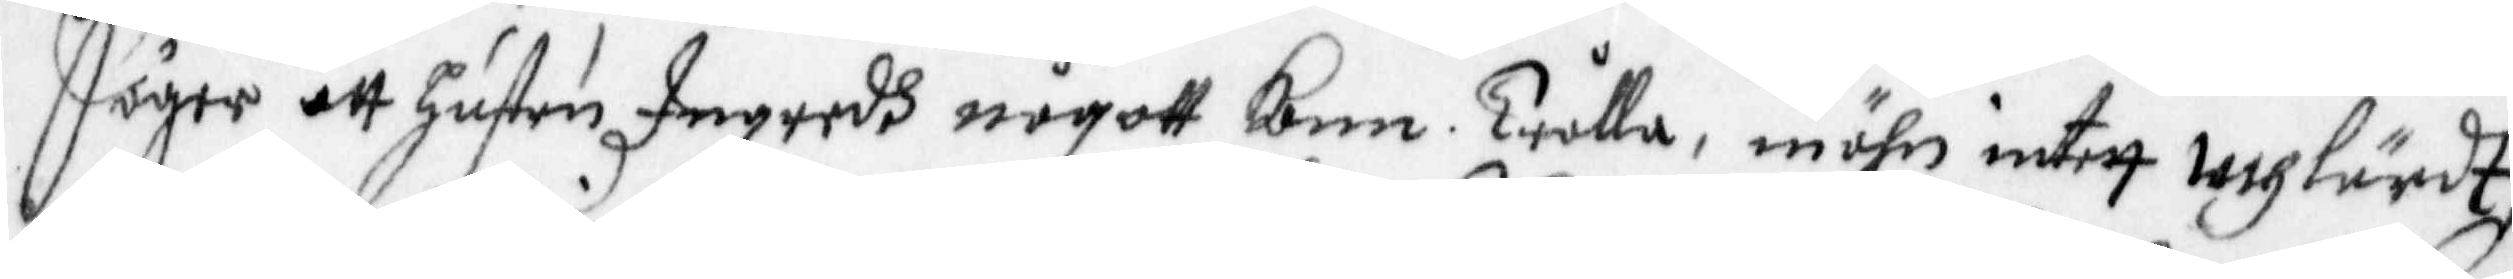Säger att Hustru Ingredh någott Kann Trålla, mähn intett uthlärdt,
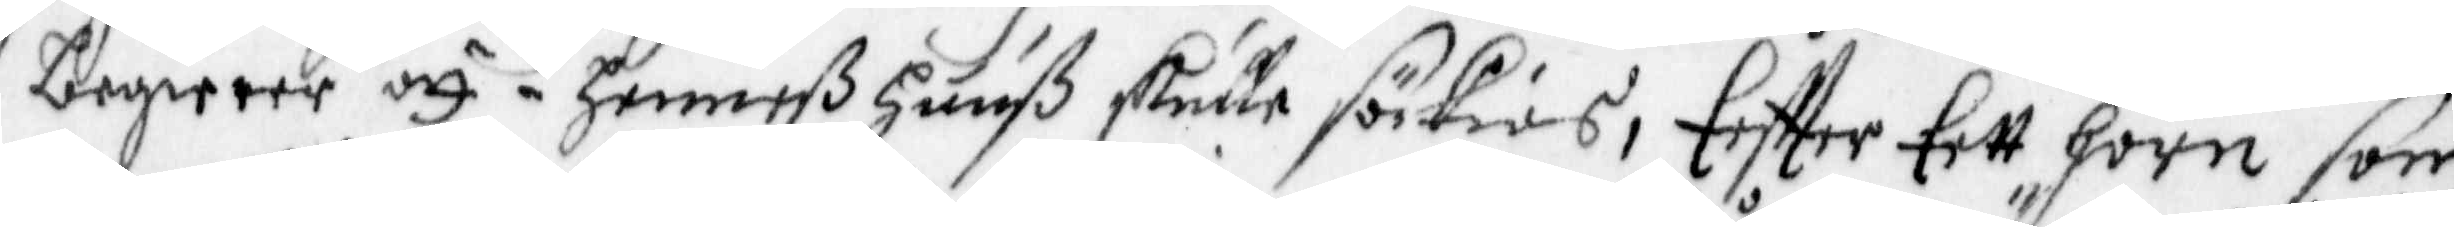begierer att i henneß huuß skulle sökias, Eftter Eett horn som
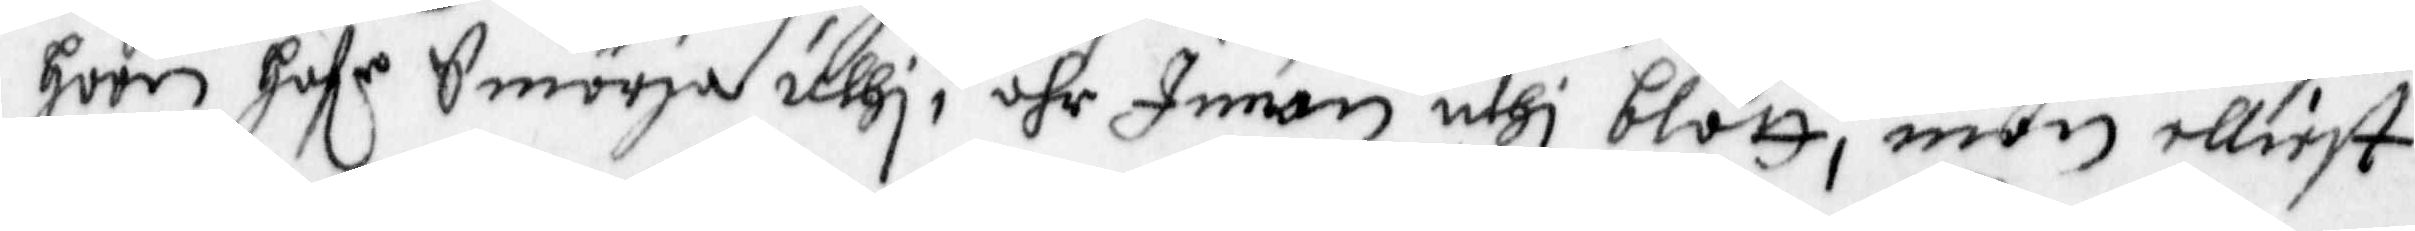hoon Hafe Smöria uthi, ähr Innan uthi blått, män elliest
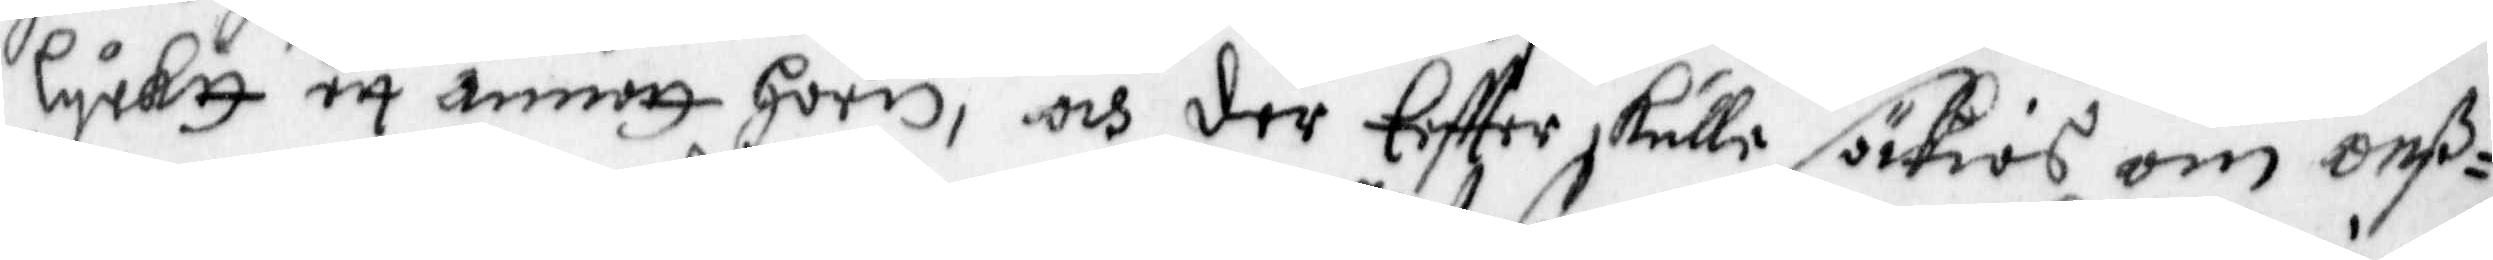lycktt ett annat horn, och der Eftter skulle sökias om onß¬
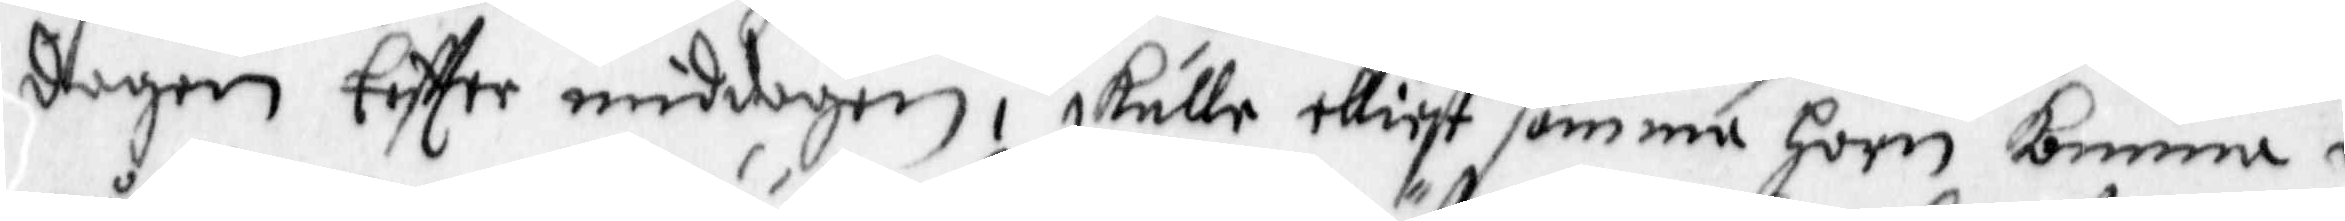dagen eftter middagen, skulle elliest samma horn kunna i
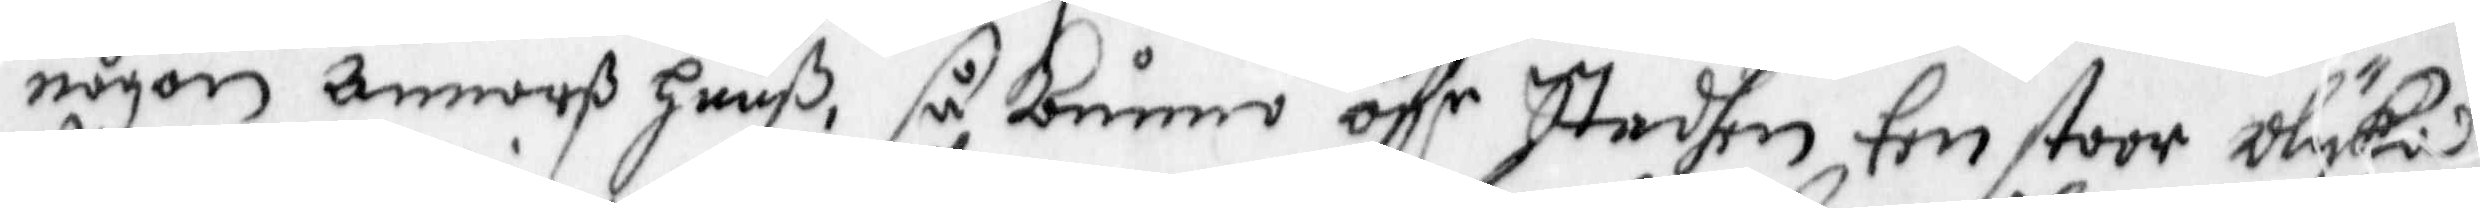någon Annorß huuß, så Kåmmo öffr Staden Een stoor Olykia
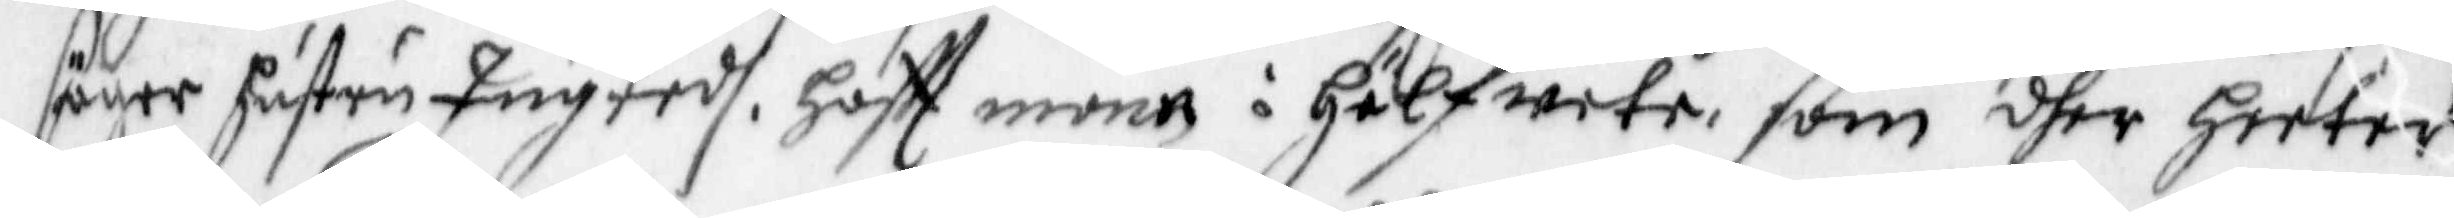säger hustru Ingredh, Haftt mant i Hälfwete, som dher heeted
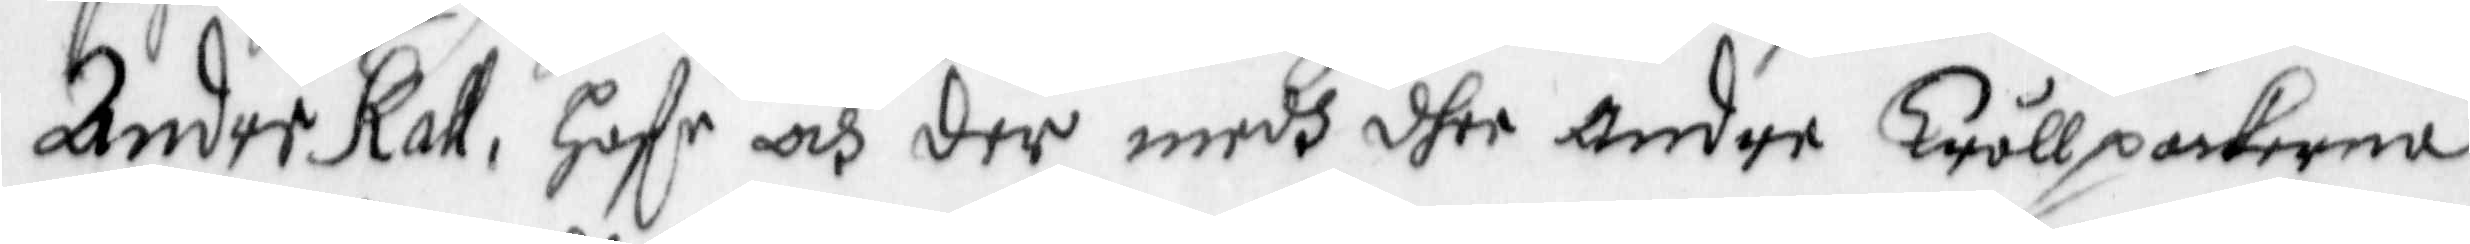Ander Kall, haffr och der medh dhee andre Trållpackorna
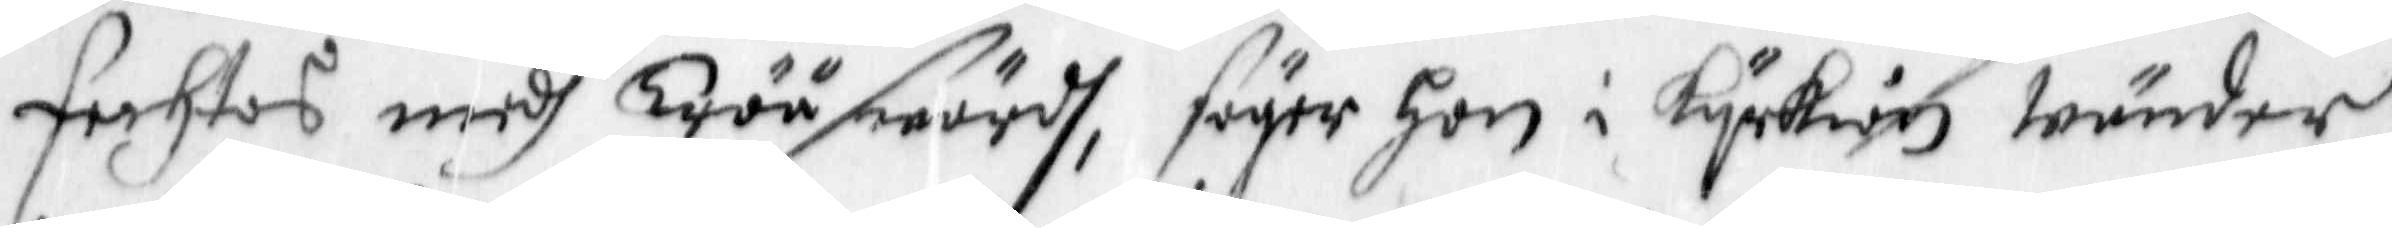fechtas medh Trääswärdh, säyer Hon i kyrkian wänder,
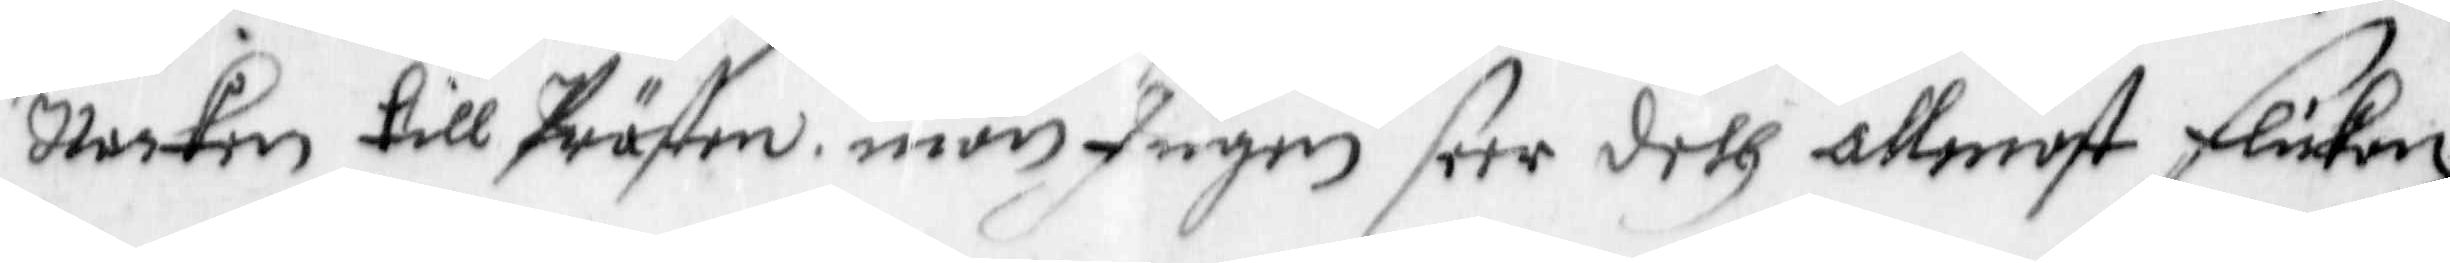Nacken till Prästen, men Ingen seer deth allenast flickan,
